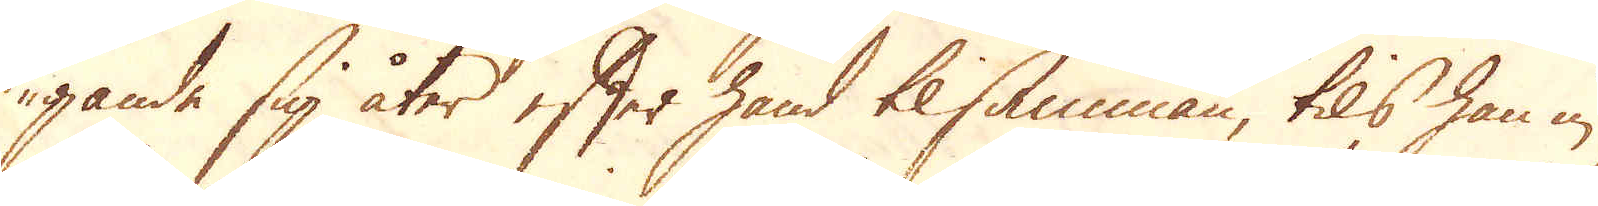gande sig åter efter hand tilsamman, tils han in
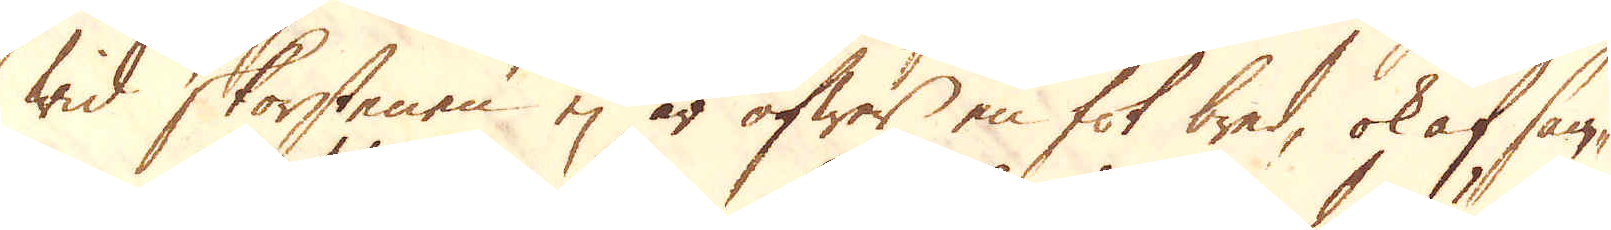wid skorstenen ej är öfwer en fot bred, ok af sam-
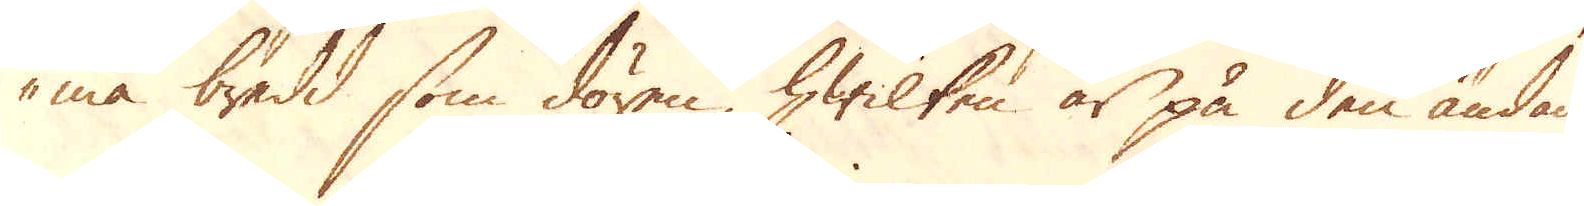ma bredd som dören, hwilken är på den ändan
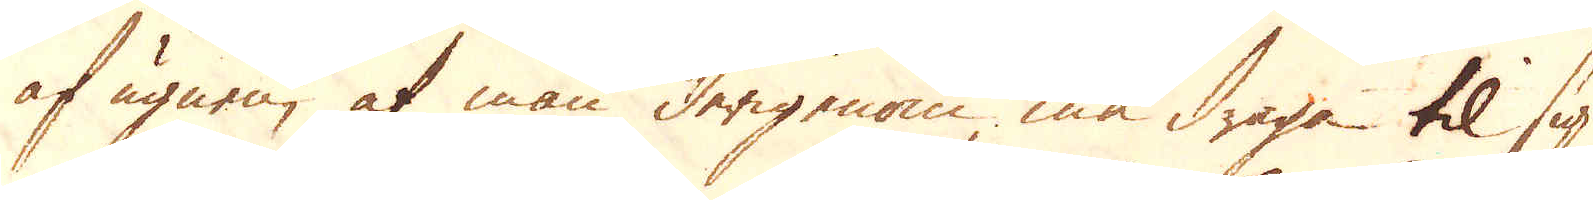af ugnen, at man derigenom må draga til sig
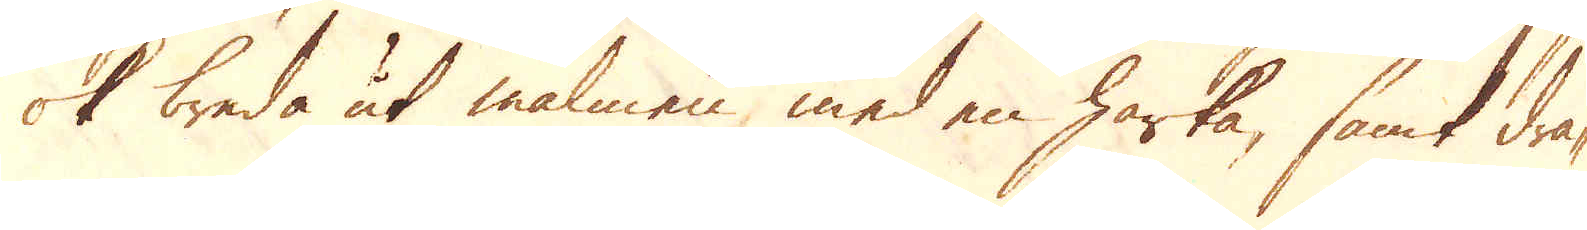ok breda ut malmen med en härka, samt dra-
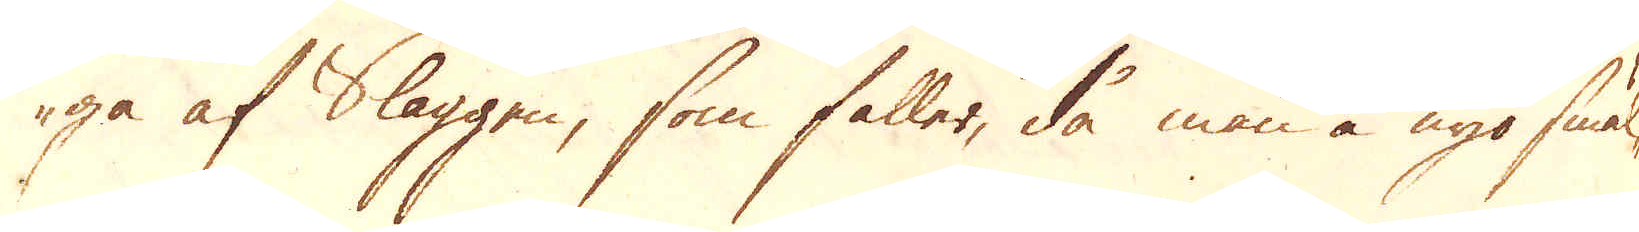ga af Slaggen, som faller, då man å nyo smäl-
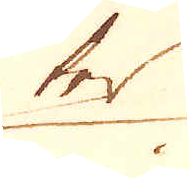ter
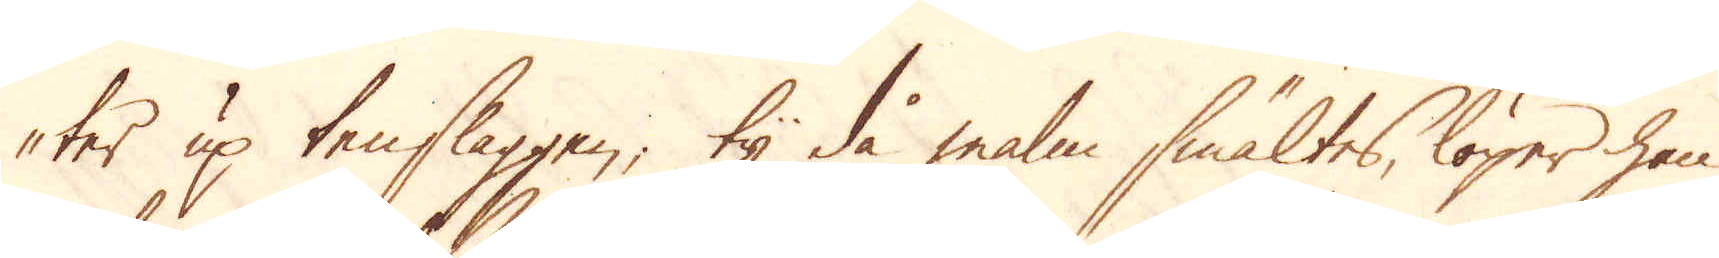ter up tenslaggen, ty då malm smältes, löper han
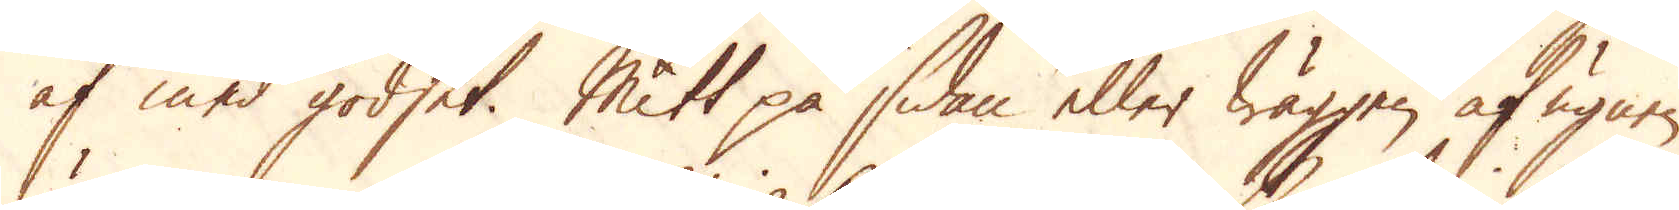af med godset. Mitt på sidan eller wäggen af ugnen
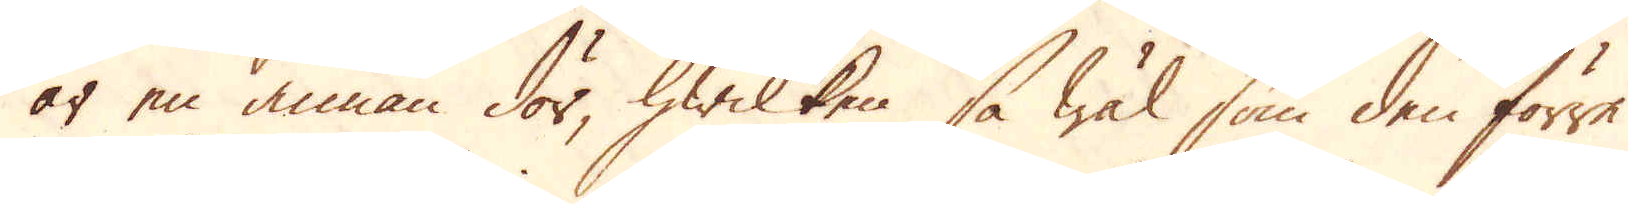är en annan dörr, hwilken så wäl som den förre
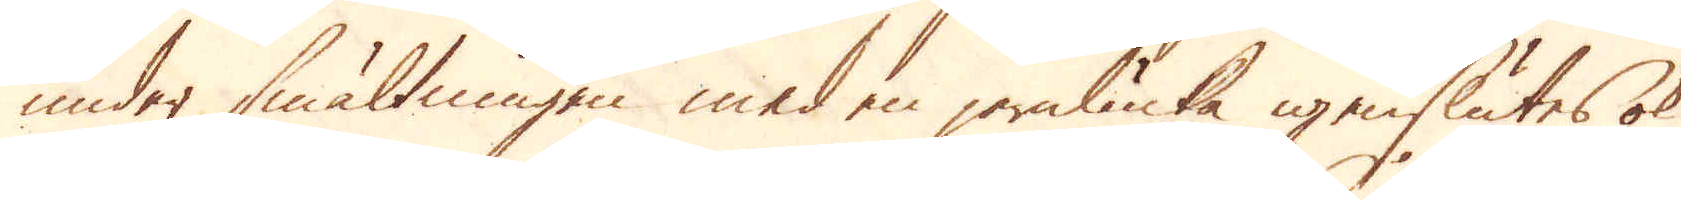under smältningen med en jernlucka igenslutes ok
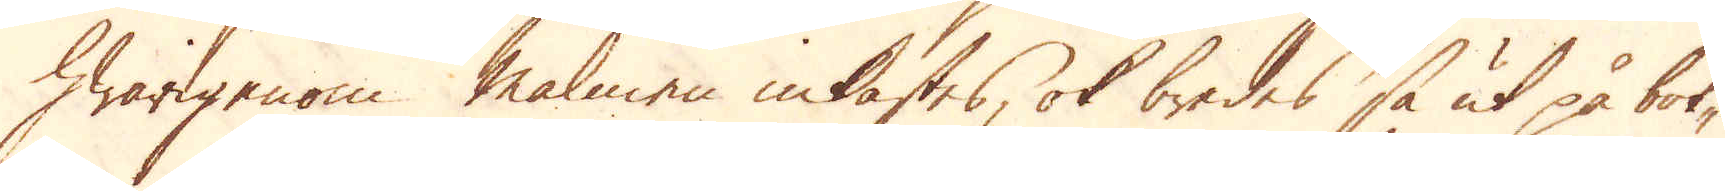hwarigenom malmen inkastes, ok bredes så ut på bot-
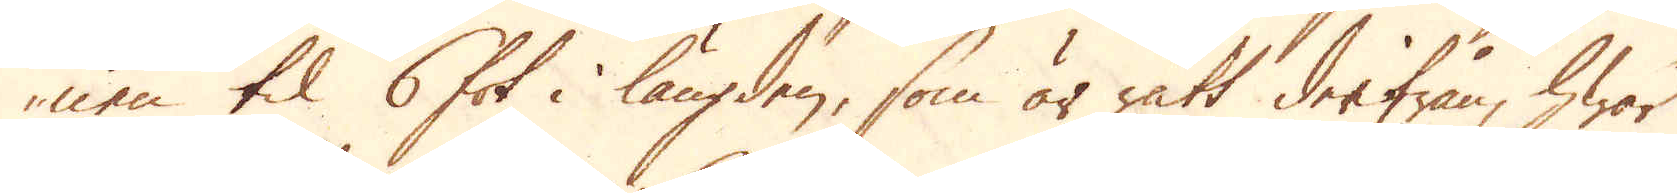nen til 6 fot i längden, som är rätt derifrån, hwar
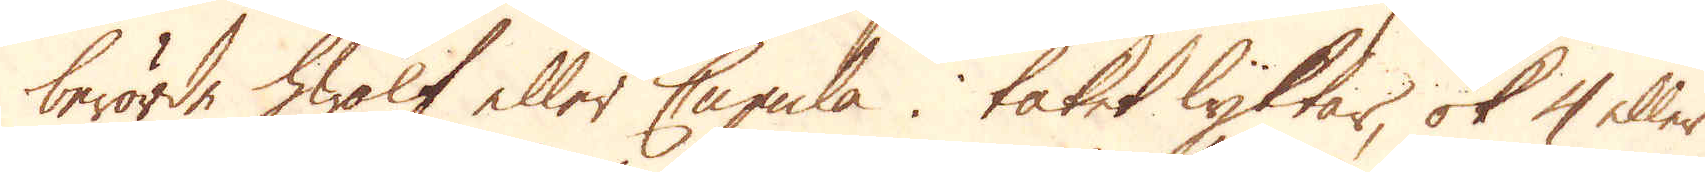berörde hwalf eller Cupula i taket lyktar, ok 4 eller
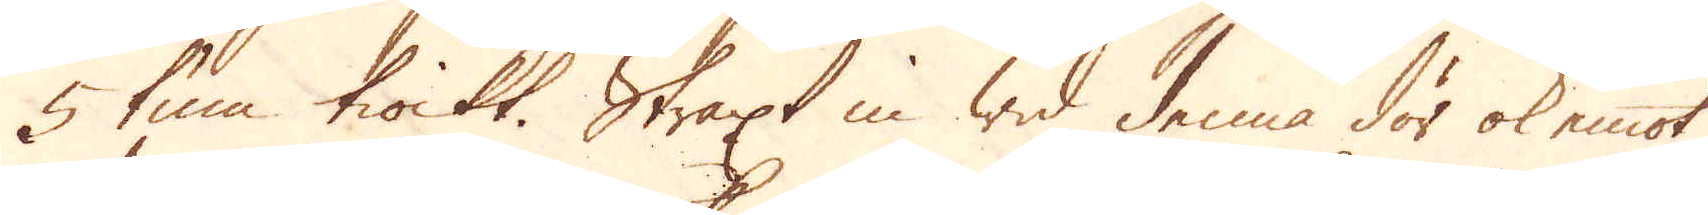5 tum tiockt. Straxt in wid denna dör ok emot
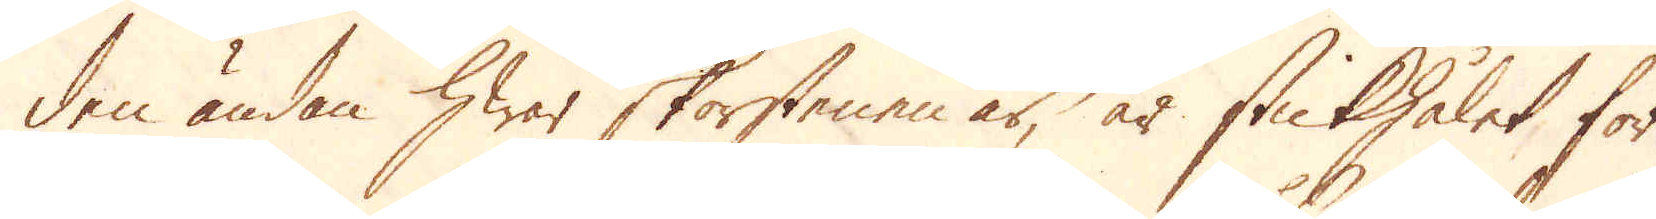den ändan hwar skorstenen är, är stickhålet för
